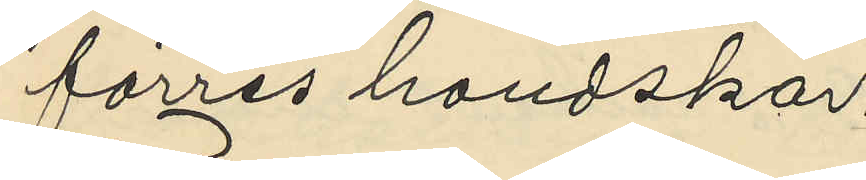förres handskar.
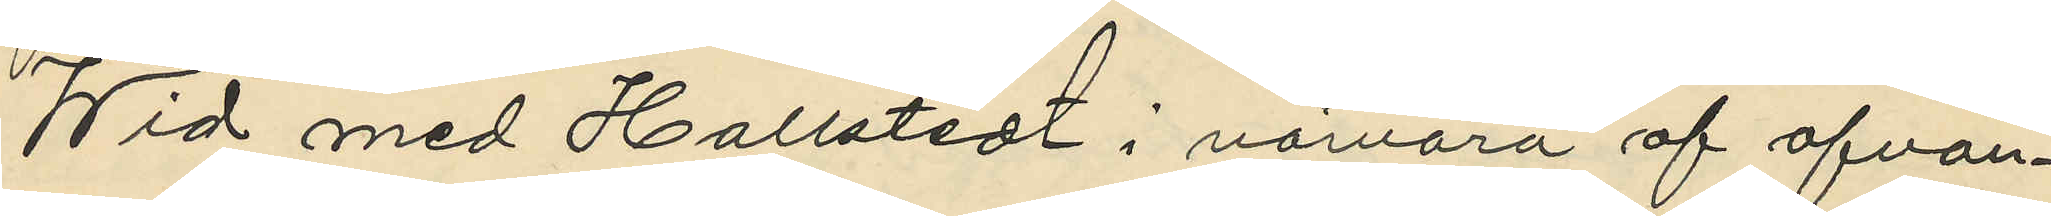Wid med Hallstedt i närvaro af ofvan¬
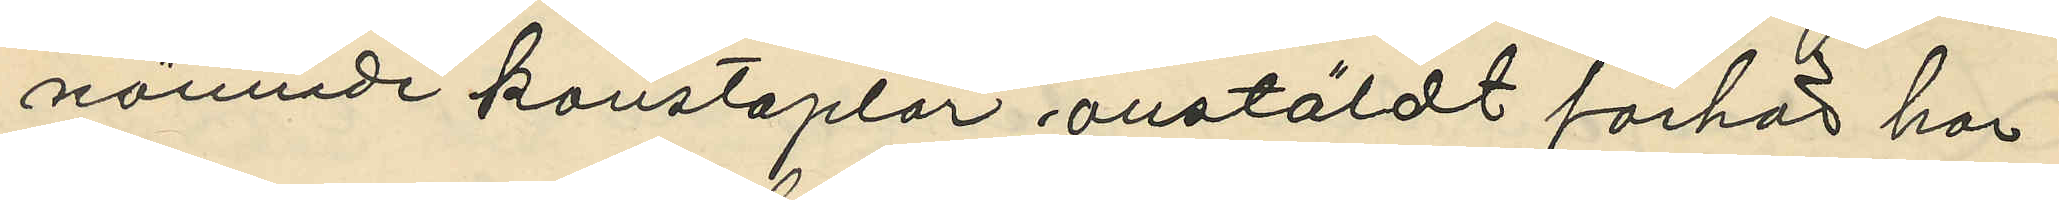nämnde konstaplar anstäldt förhör har
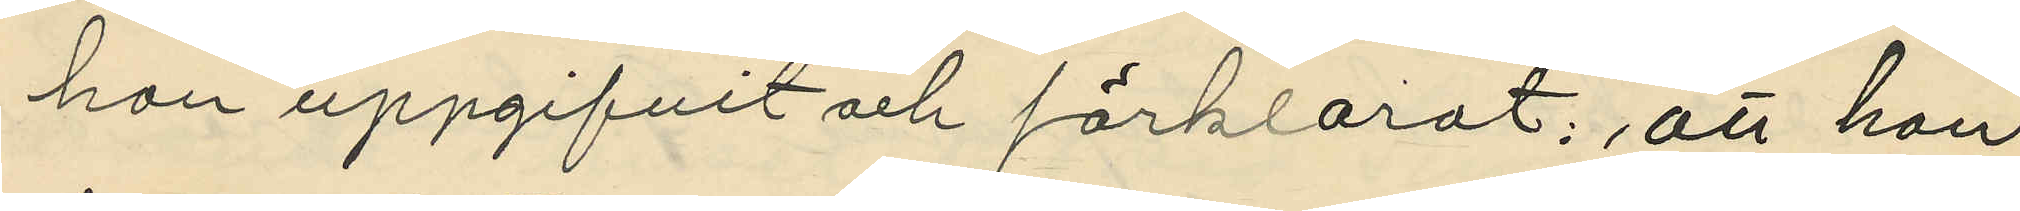han uppgifvit och förklarat: att han
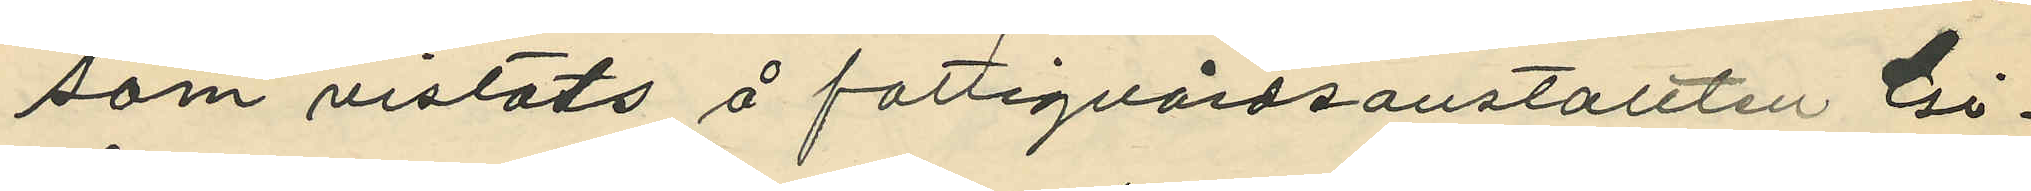som vistats å fattigvårdsanstalten Gi¬
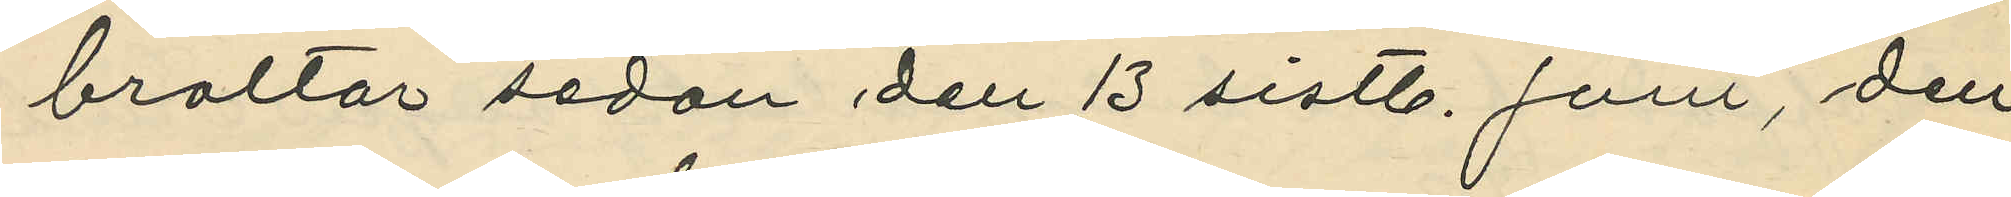braltar sedan den 13 sistl. Juni, den
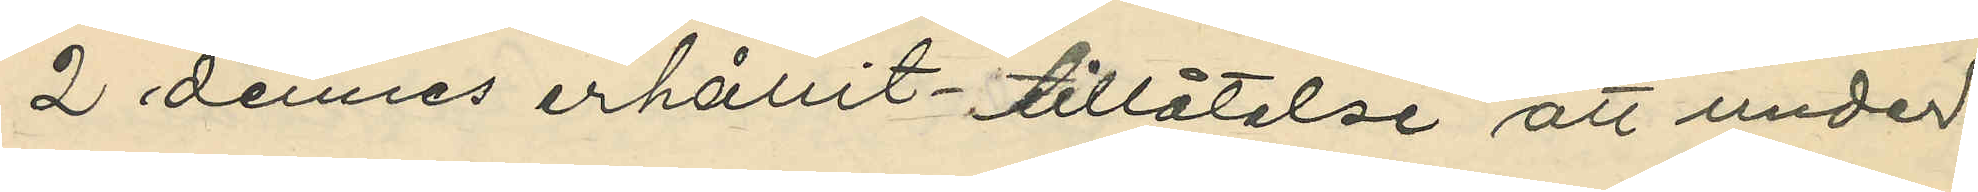2 dennes erhållit - tillåtelse att under
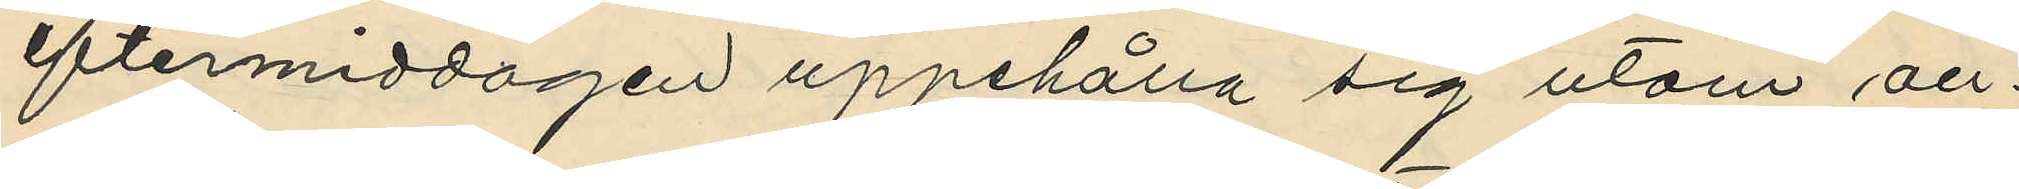eftermiddagen uppehålla sig utom an¬
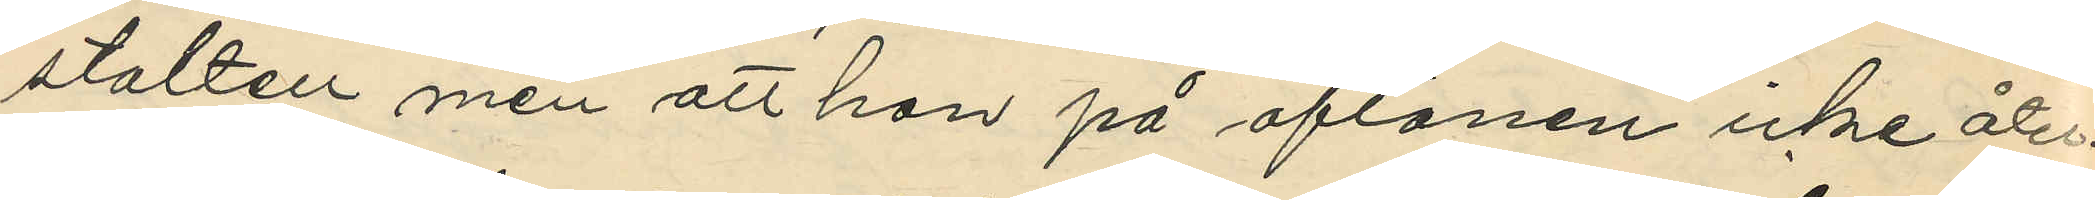stalten men att han på aftonen icke åter¬
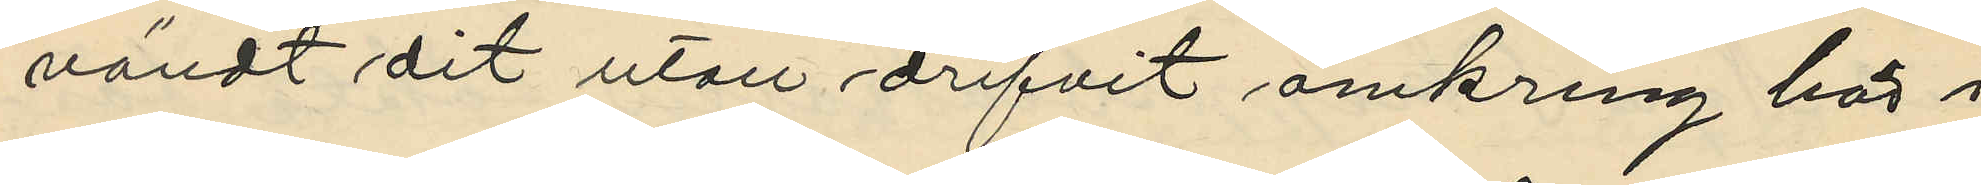vändt dit utan drifvit omkring här i
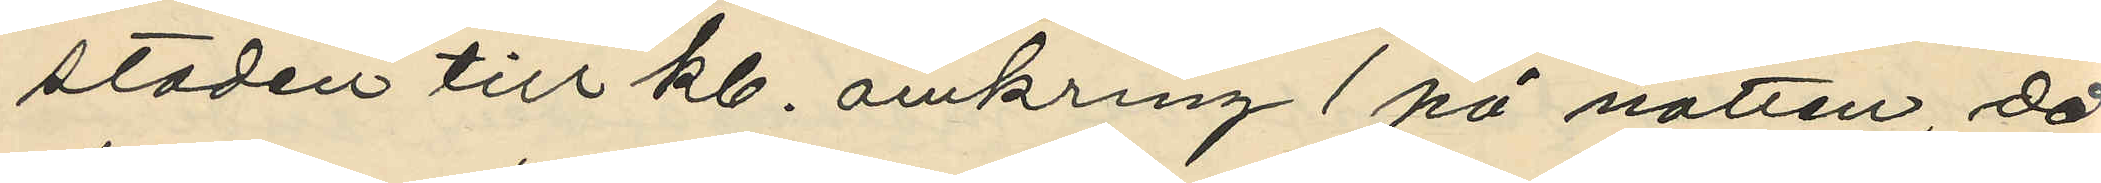staden till kl. omkring 1 på natten, då
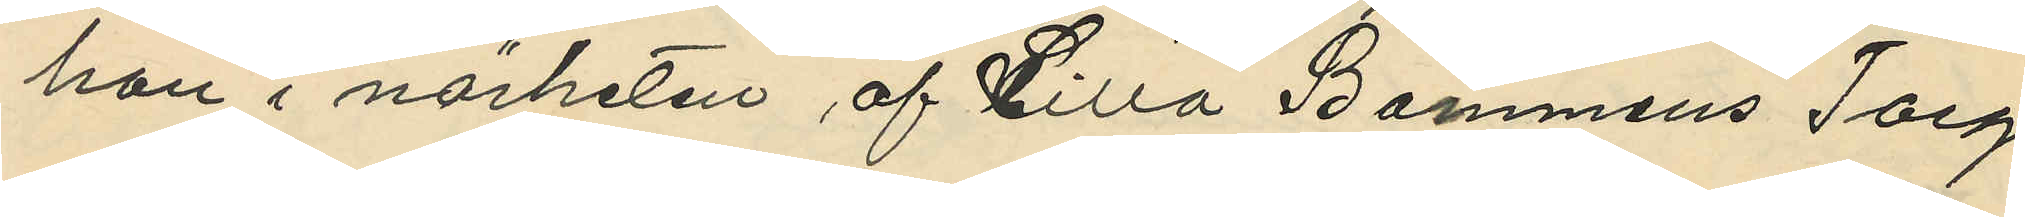han i närheten af Lilla Bommens Torg
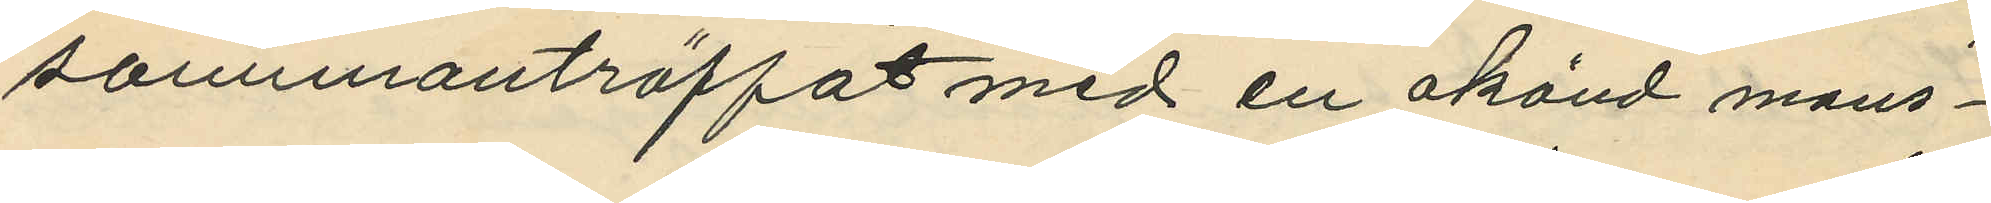sammanträffat med en okänd mans¬
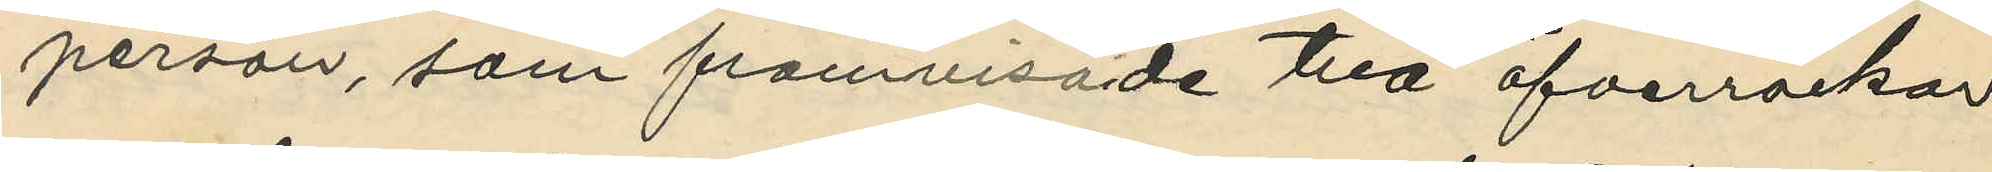person, som framvisade två öfverrockar
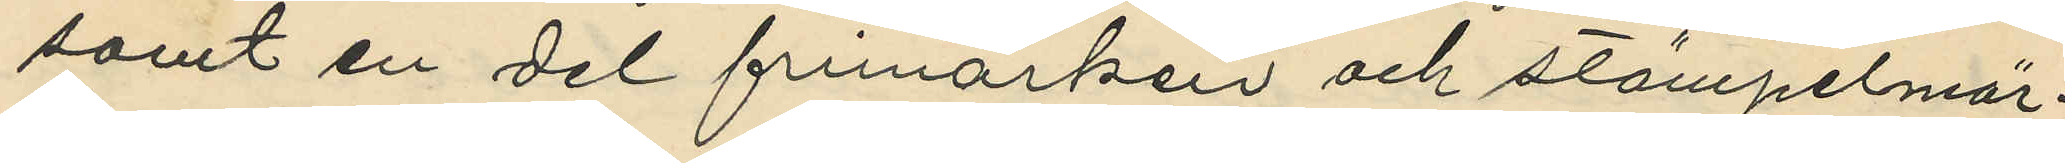samt en del frimärken och stämpelmär¬
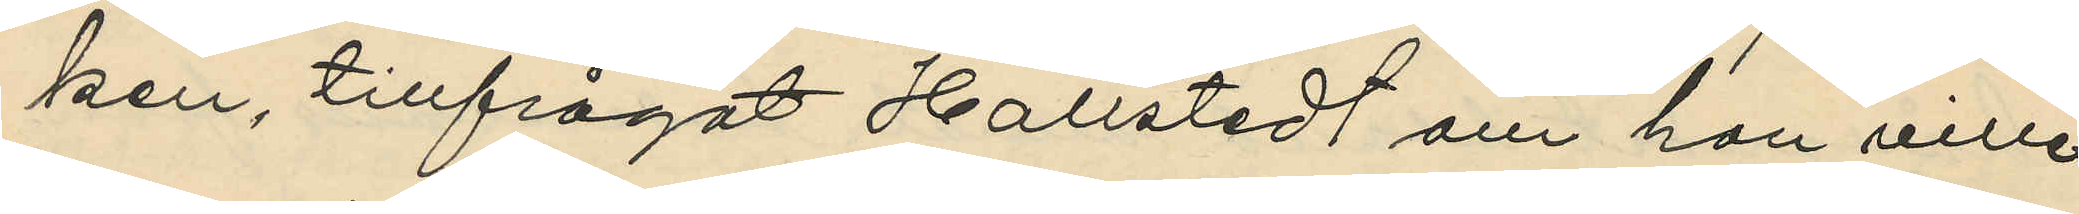ken, tillfrågat Hallstedt om han ville
